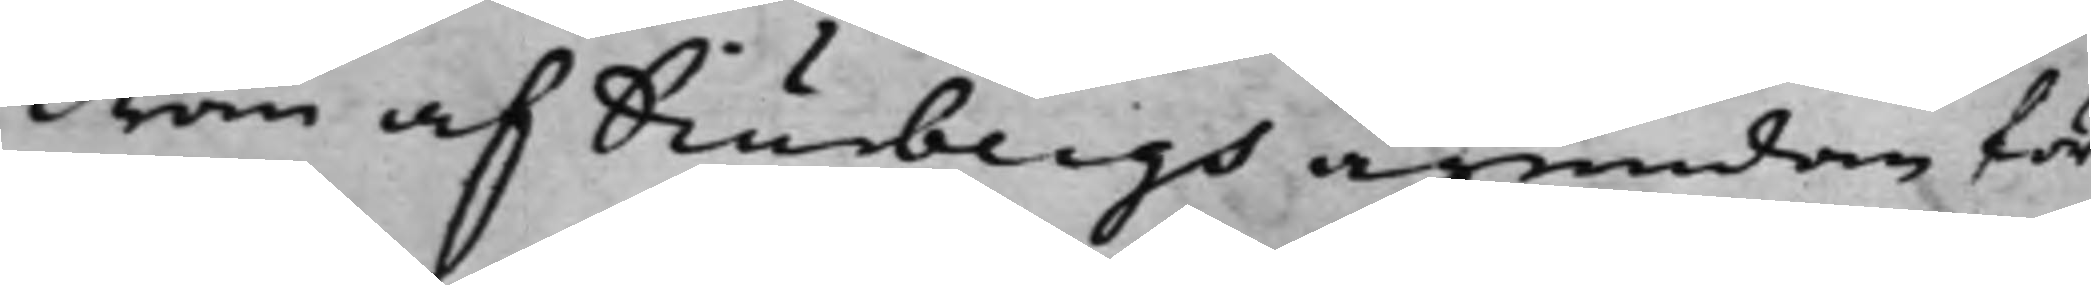dran af Diurbergs ägendom för¬
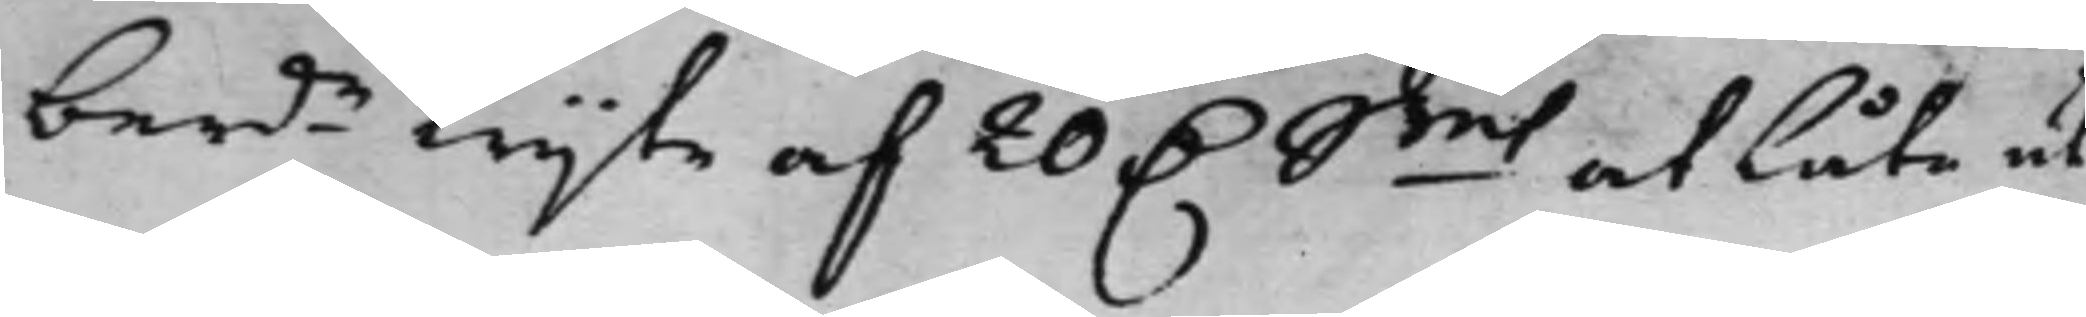berde wijte af 20 D. Smt at låta ut¬
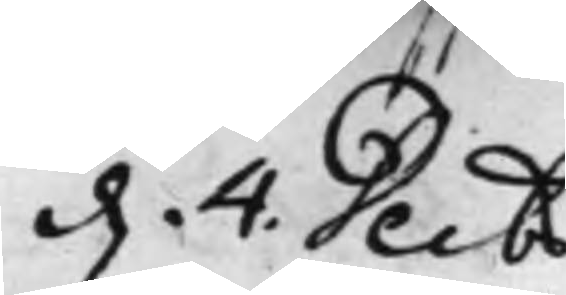d. 4. Decbr
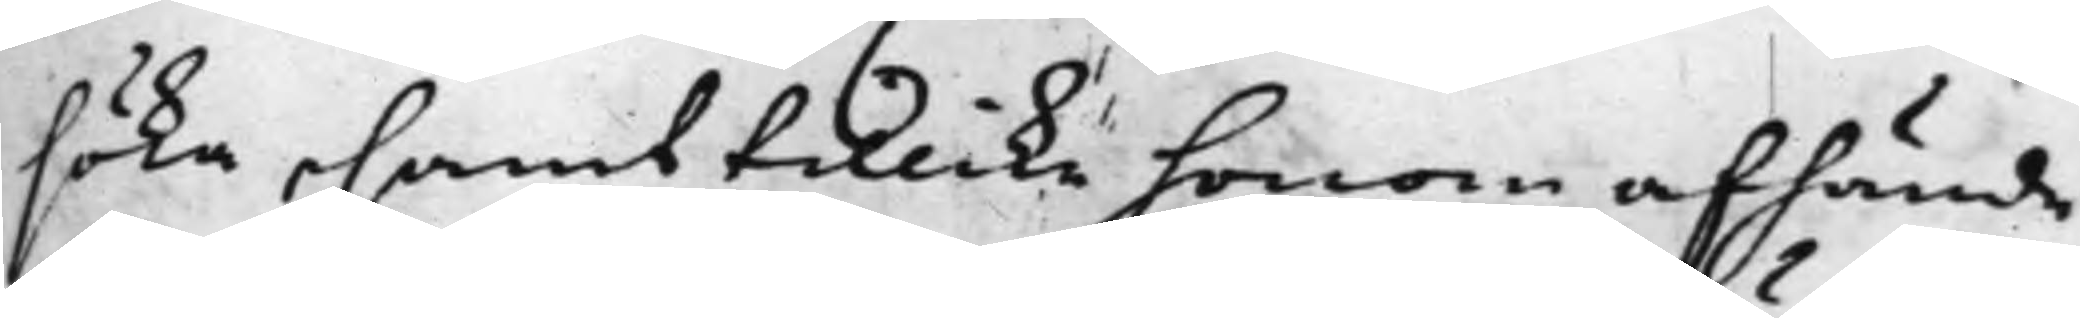söka, samt tillike honom afhände
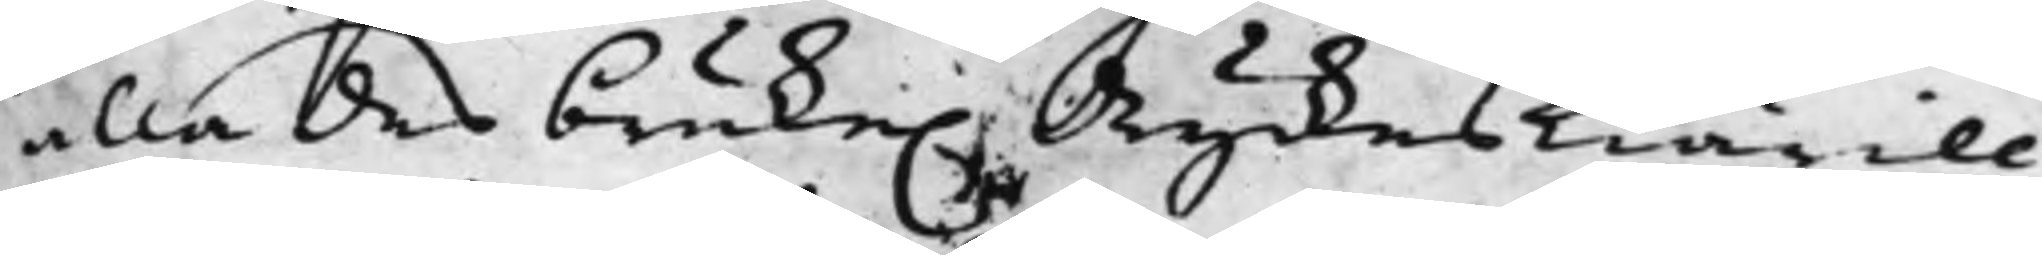alla des bruke. dryckeskiärill,
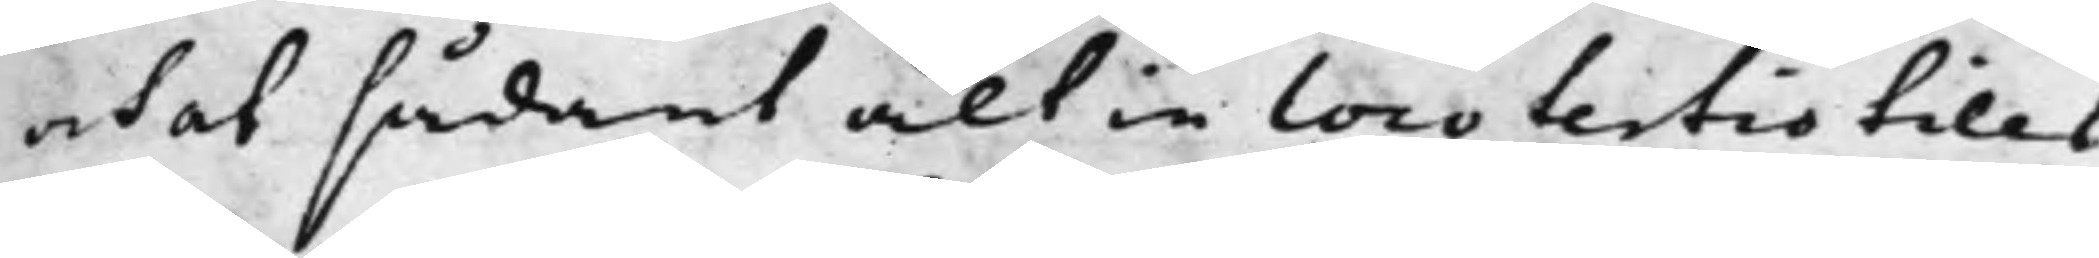och at sådant alt in loco tertio tills
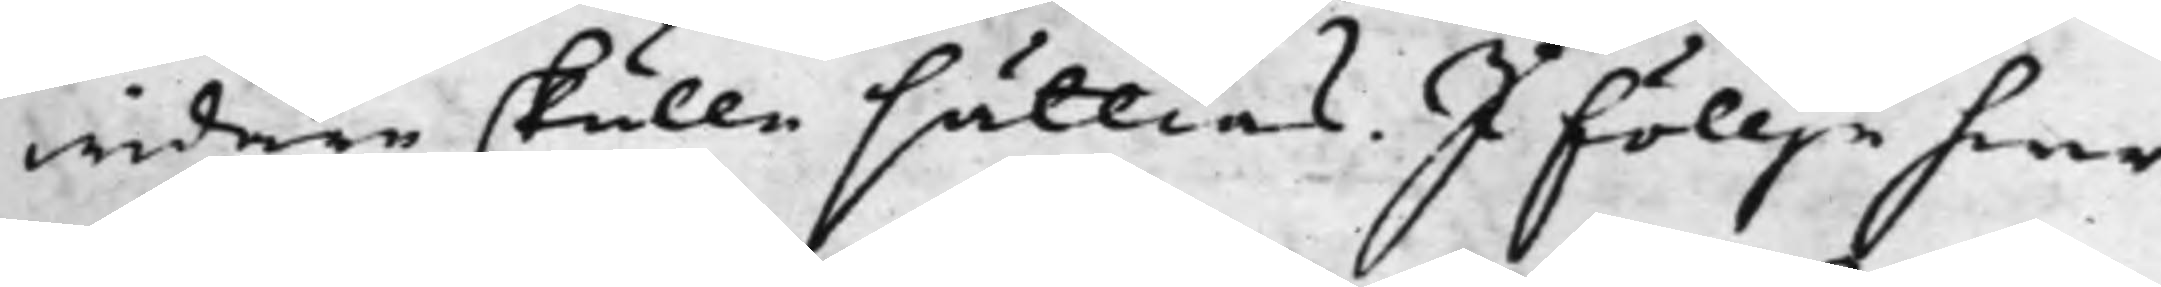widare skulle sättias. I föllje hwar¬
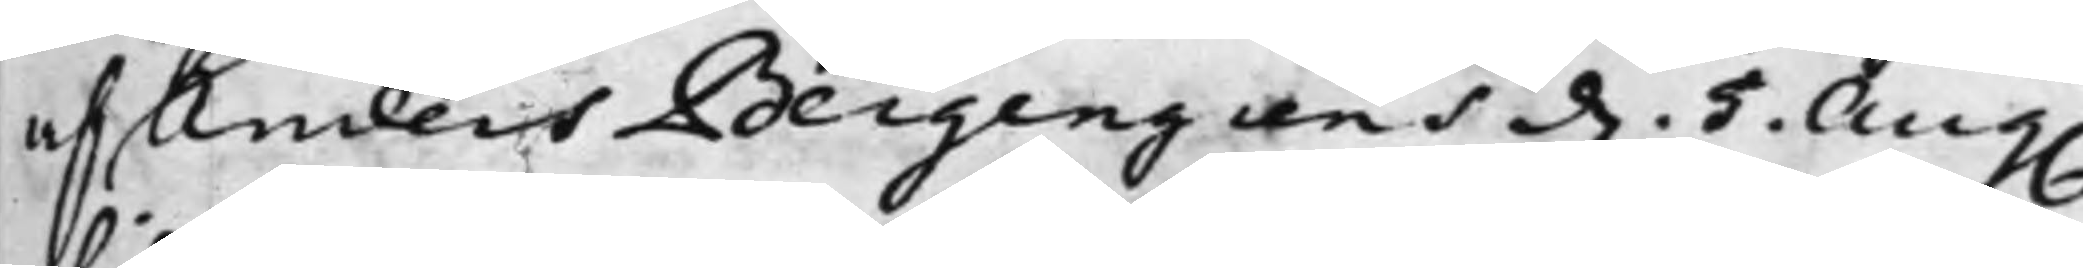af Anders Bergengrens d. 5 Aug.
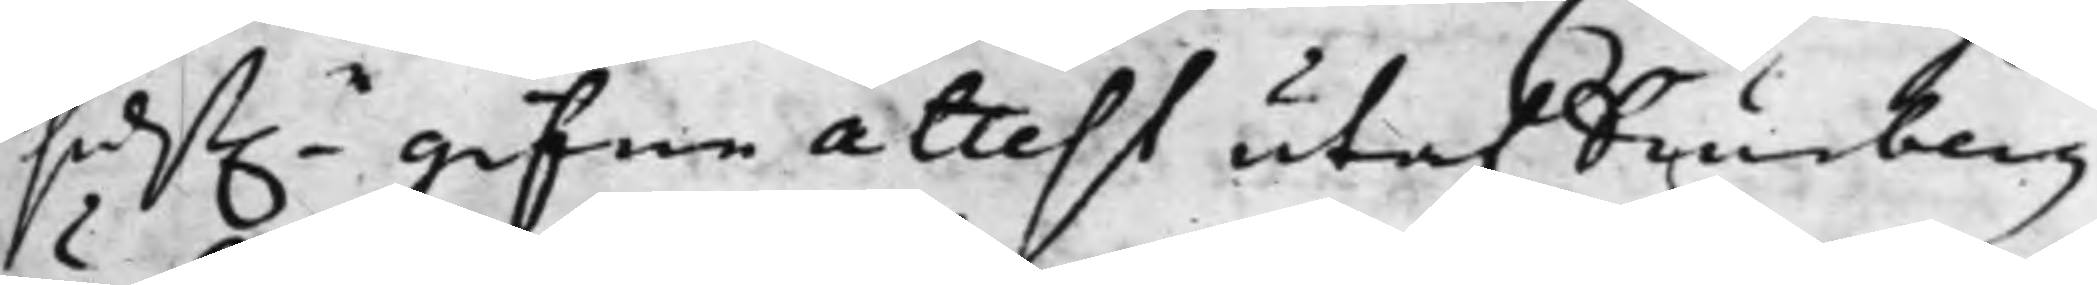sidst.e gifne attest utaf Diurberg
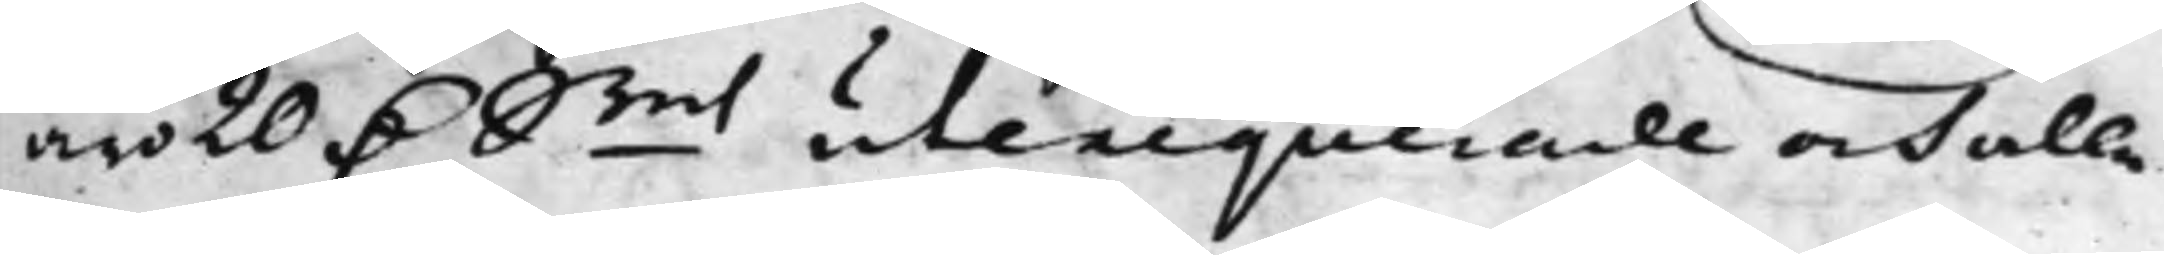äro 20 D. Smt utexequerade och alle
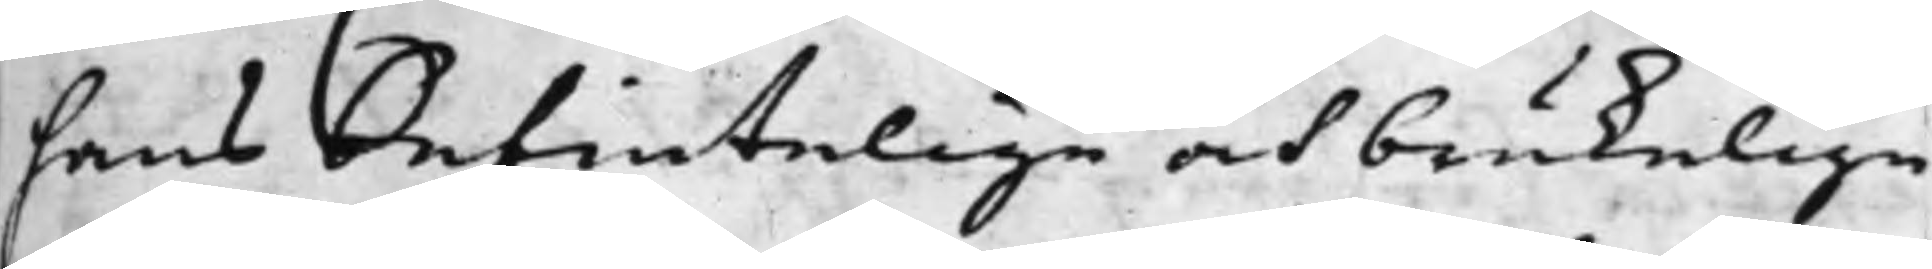hans befintelige och brukelige
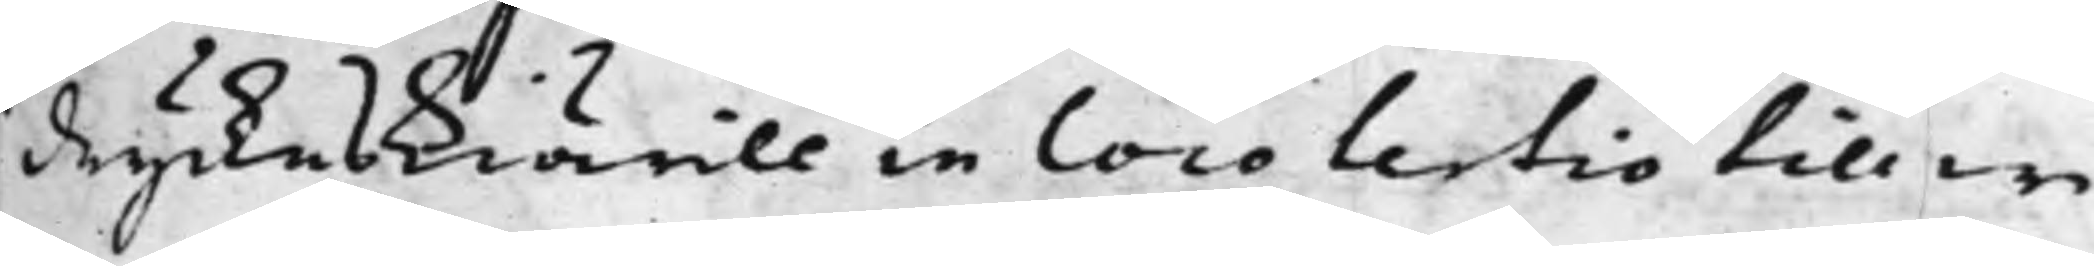dryckeskiärill in loco tertio till wi¬
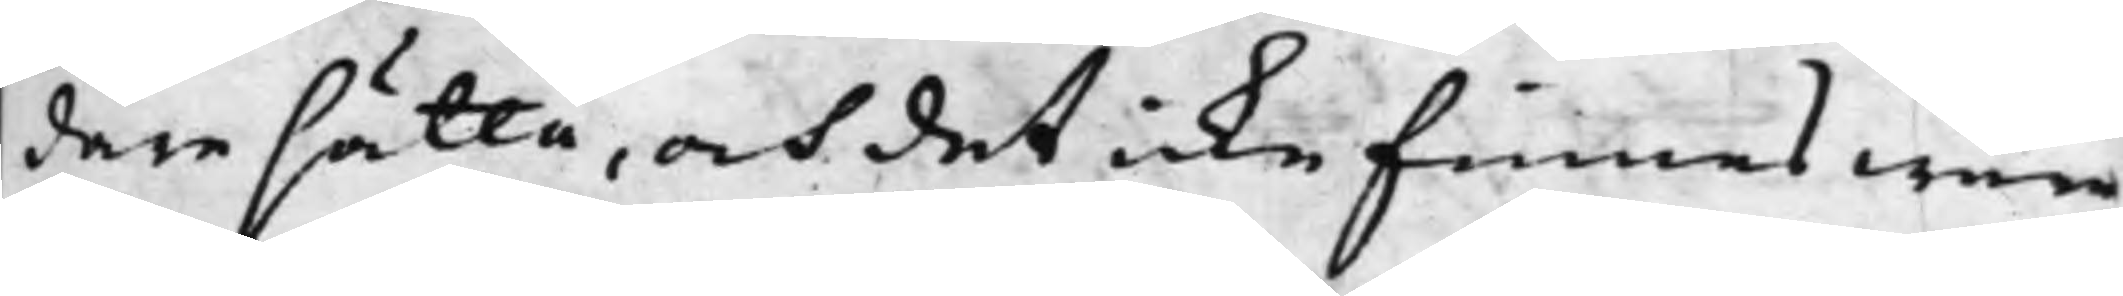dare sätta, och det icke finnes wara
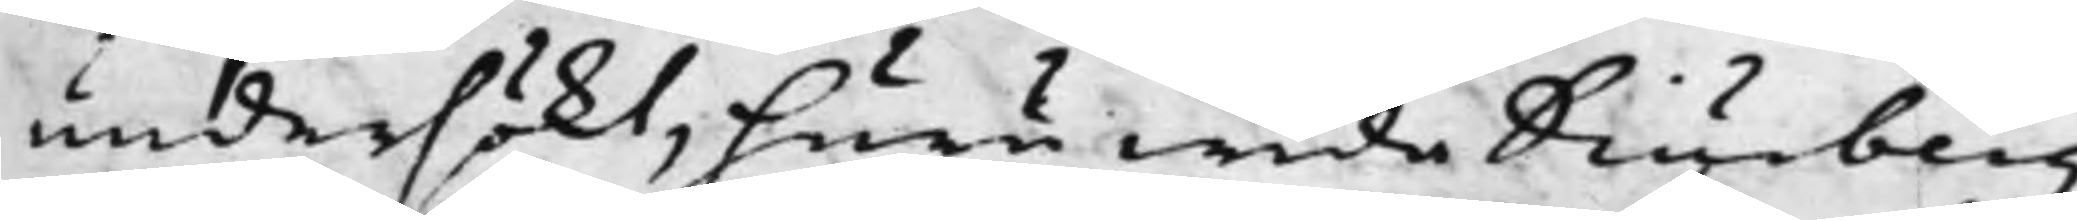undersökt, huruwida Diurberg
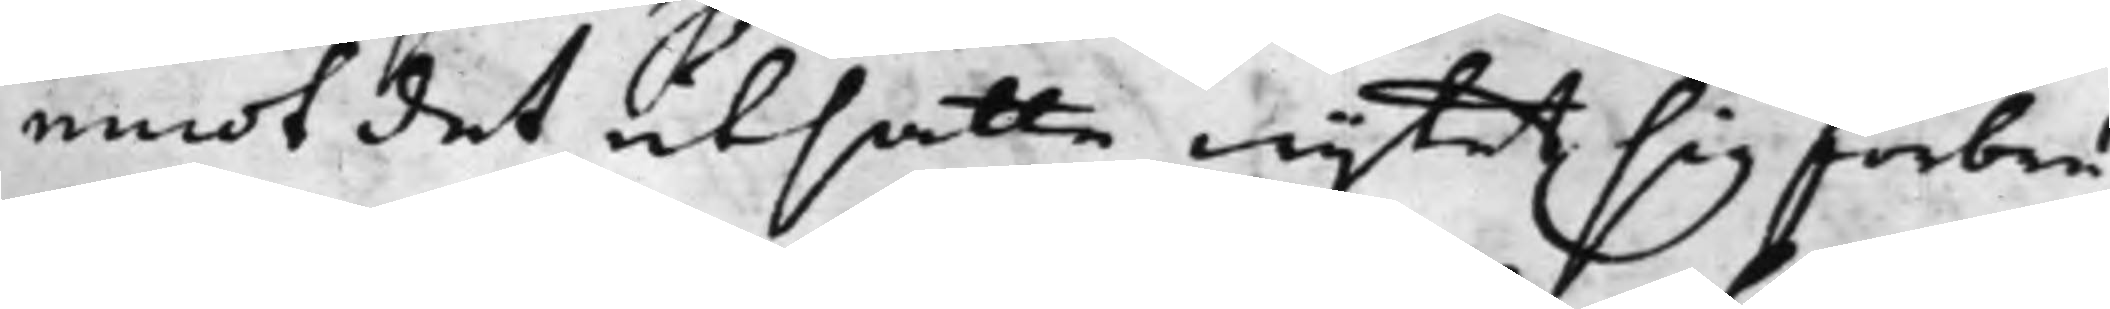emot det utsatte wijtet sig förbru¬
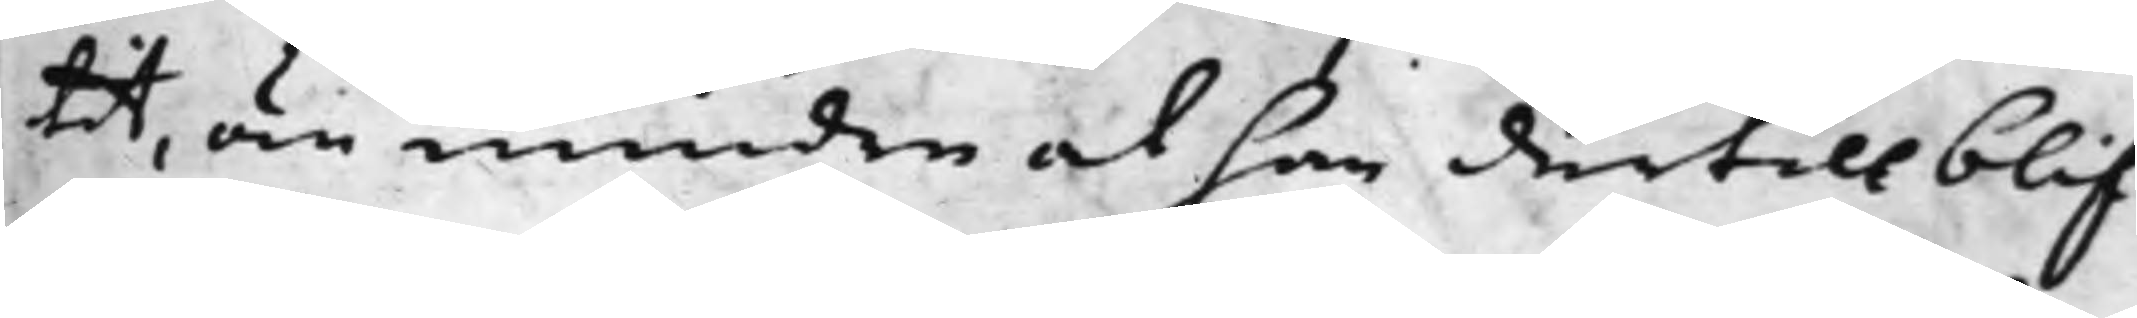tit, än mindre at han dertill blif¬
